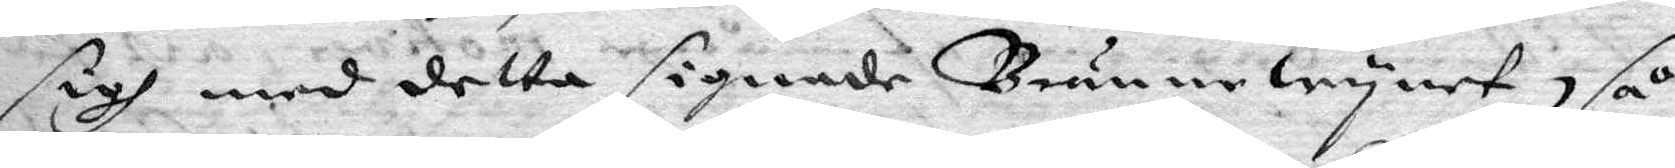sigh med detta signade Brännewynet, så 
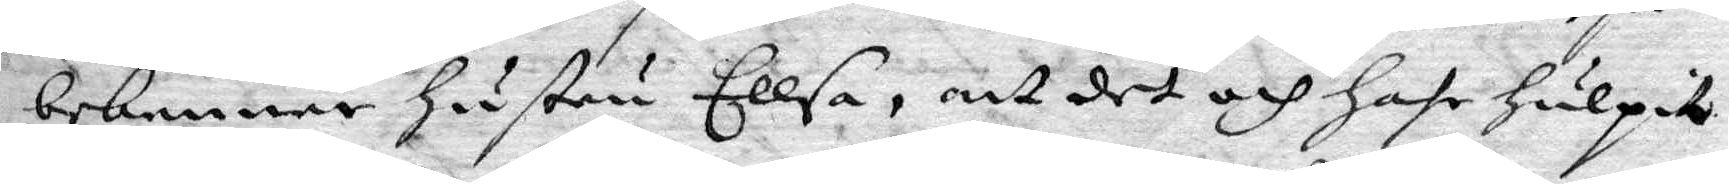bekenner hustru Ellsa, att det och hafr hulpit
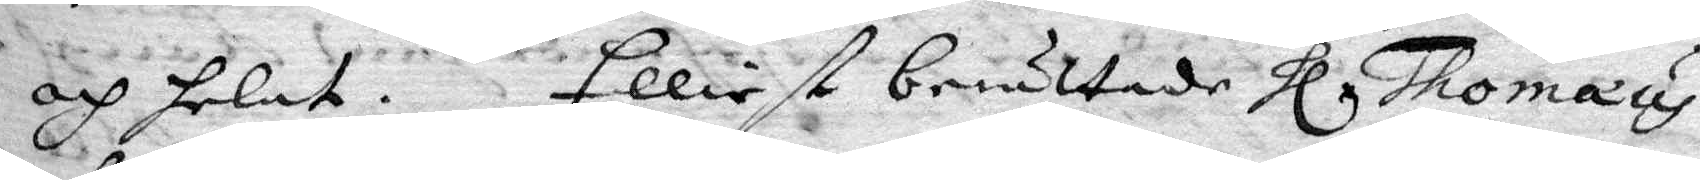och helat. Elliest berättade Hl Thomaus
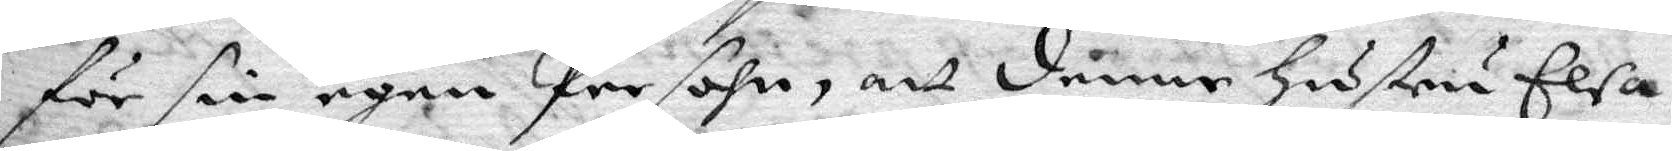för sin egen Persohn, att denne hustru Elsa
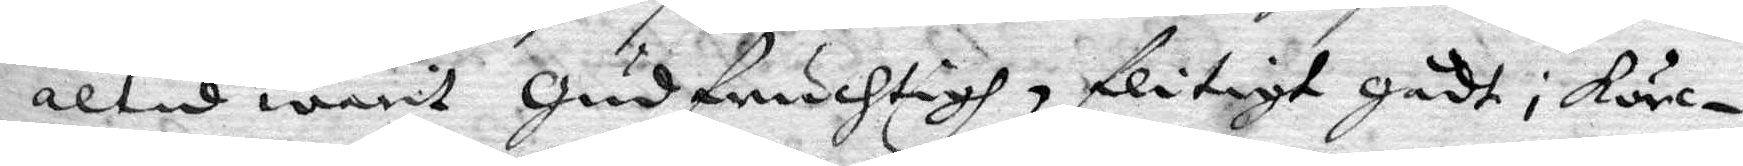altid warit gudfruchtig, flitigt gådt i körc¬
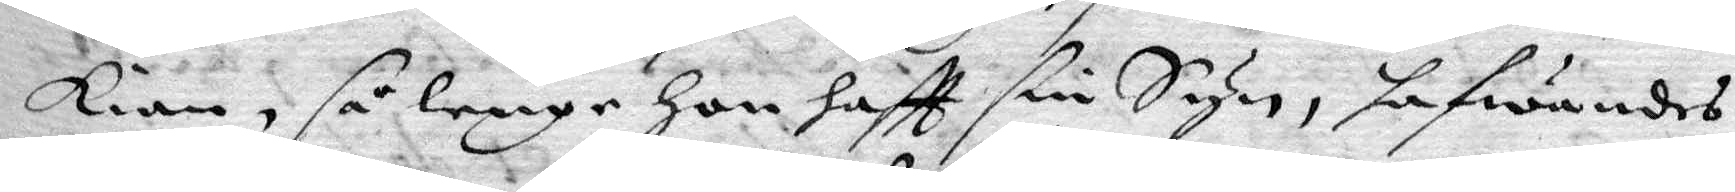kian, så lenge hon haftt sin Syn, hafwandes
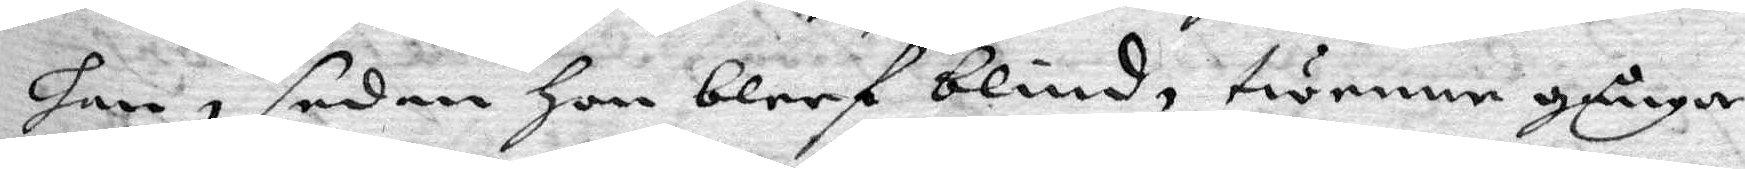han, sedan hon bleef blind, twenne gånger
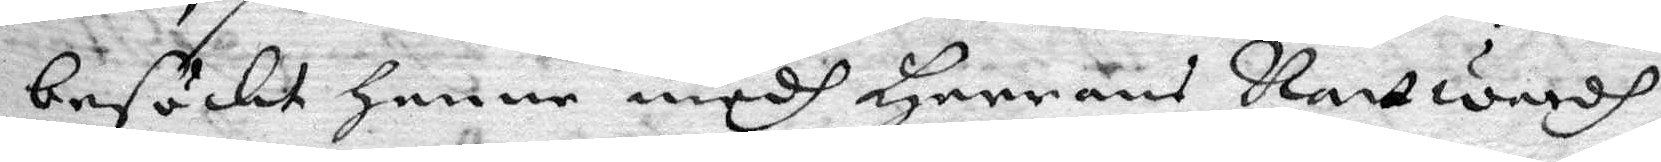besöckt henne medh Herrans Nattwardh,
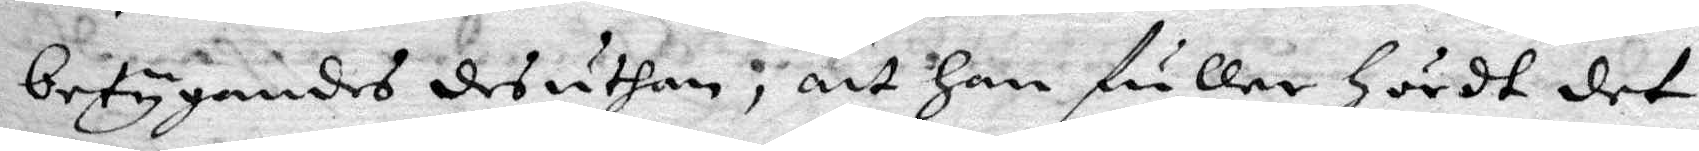betygandes desuthan, att han fuller hördt det
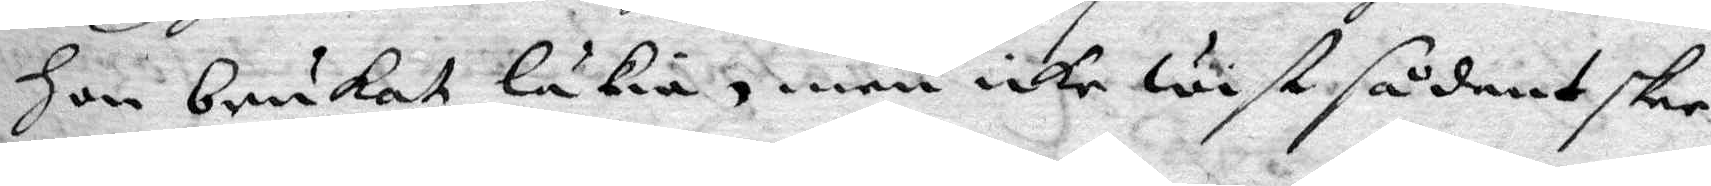hon brukat läkia, men icke wist sådant skee
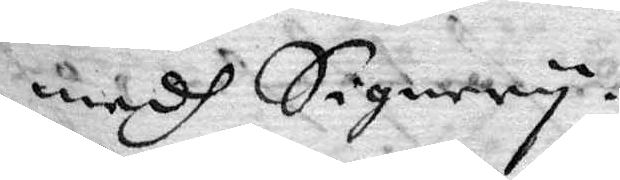medh Signery.
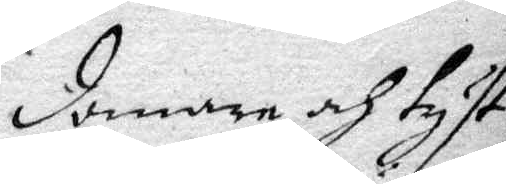domare och tyst¬
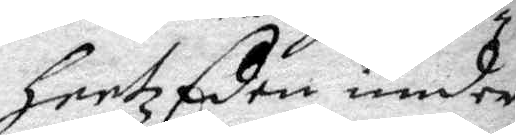heetz Eden under¬
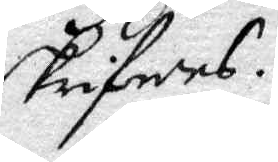skrifwes.
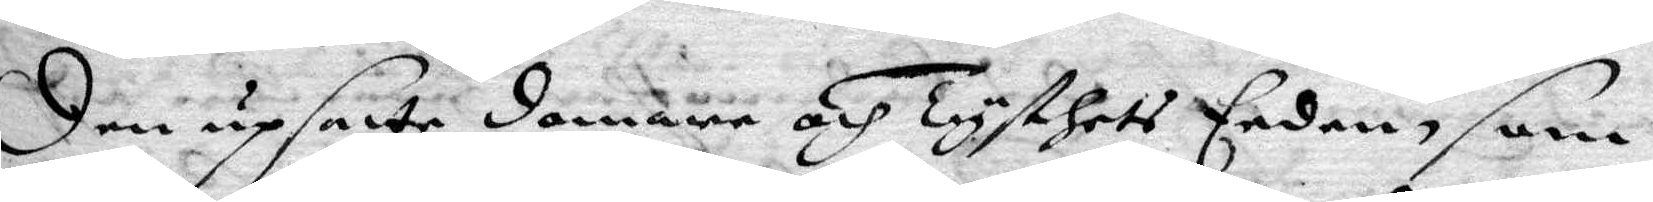Den upsatte domare och Tysthets Eeden, som
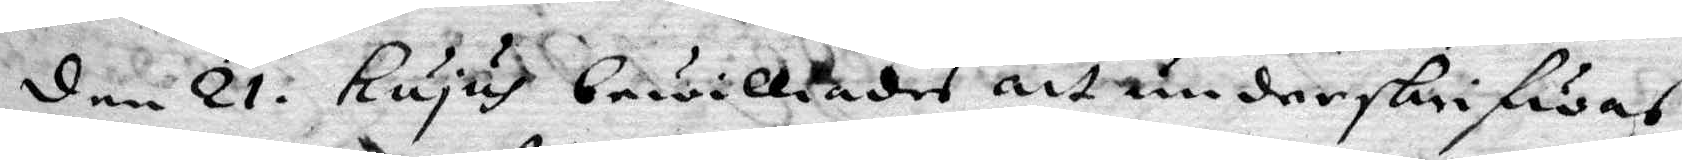den 21. Hujus bewilliades att underskrifwas
